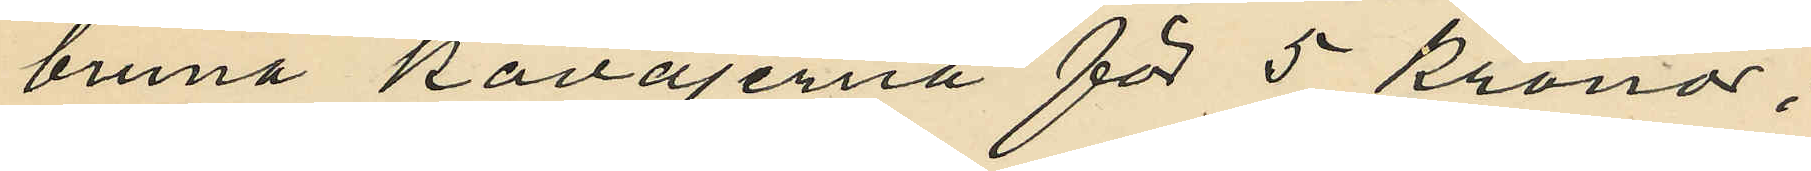bruna kavajerna för 5 Kronor;
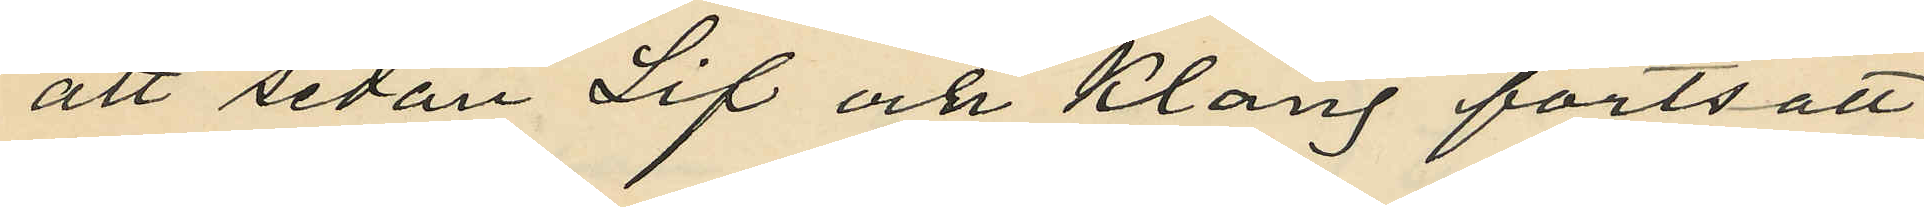att sedan Lif och Klang fortsatt
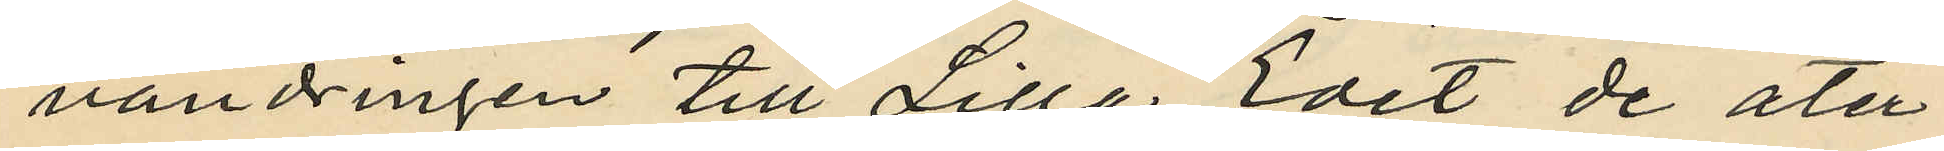vandringen till Lilla Edet de åter¬
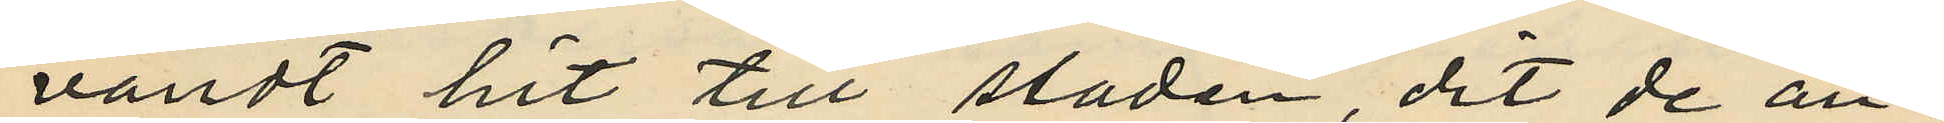vändt hit till staden, dit de an¬
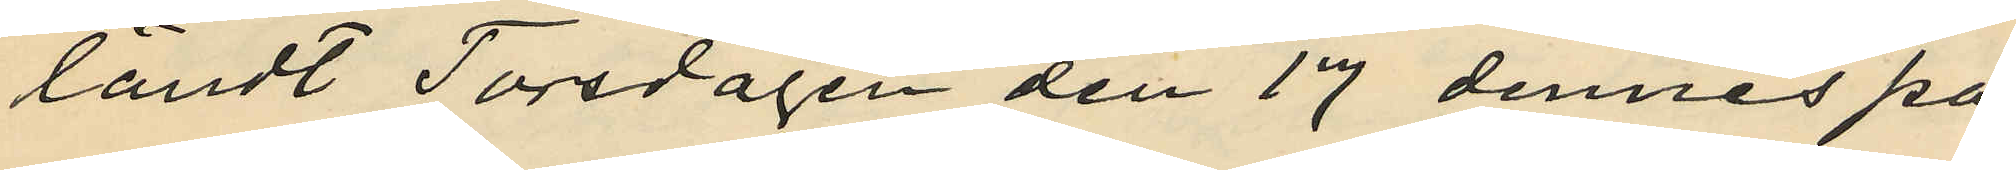ländt Torsdagen den 17 dennes på
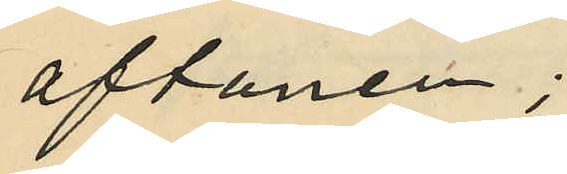aftonen;
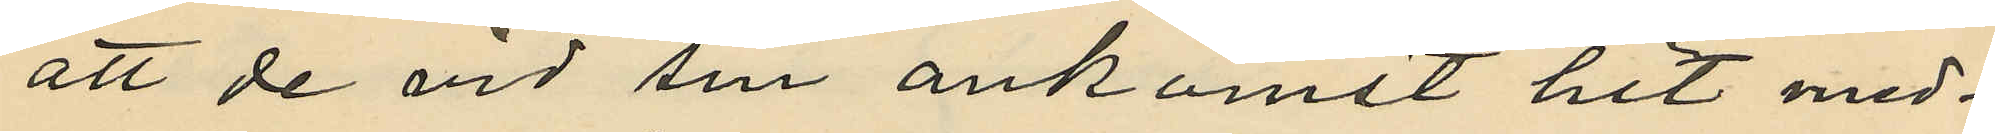att de vid sin ankomst hit med¬
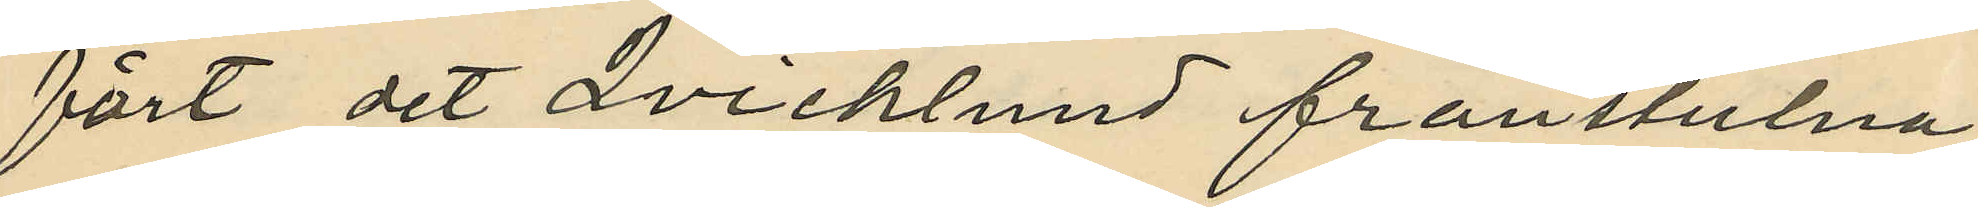fört det Qvicklund frånstulna
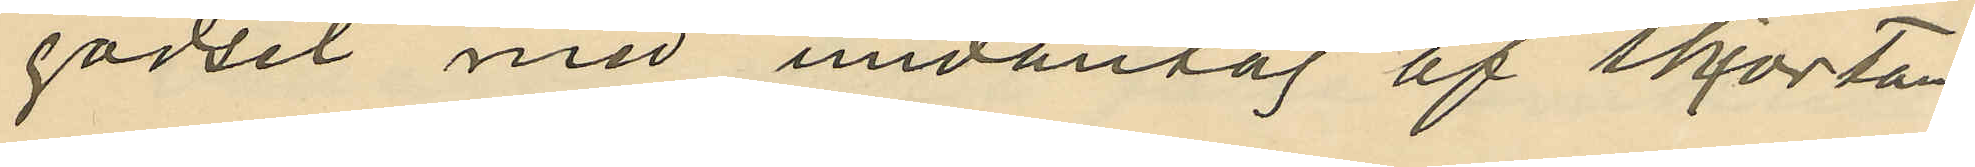godset med undantag af skjortan
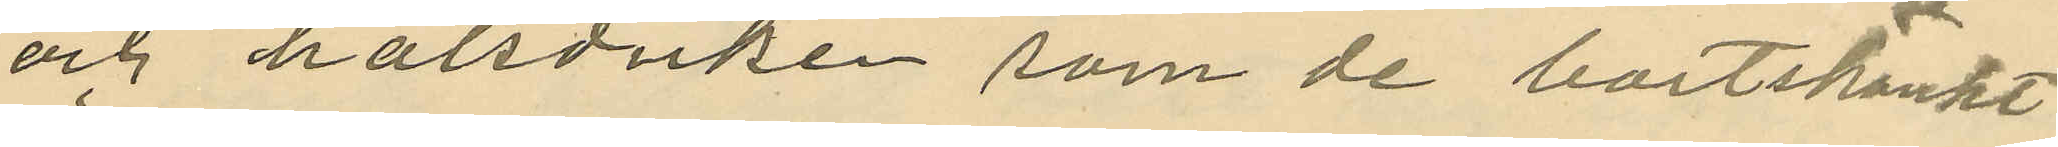och halsduken som de bortskänkt
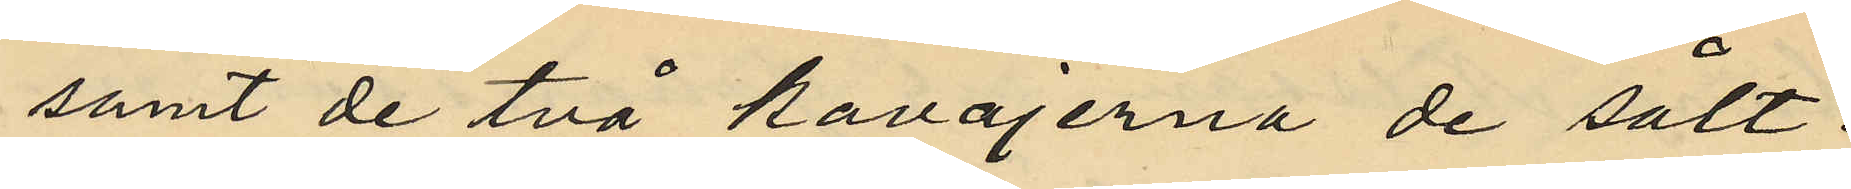samt de två kavajerna de sålt;
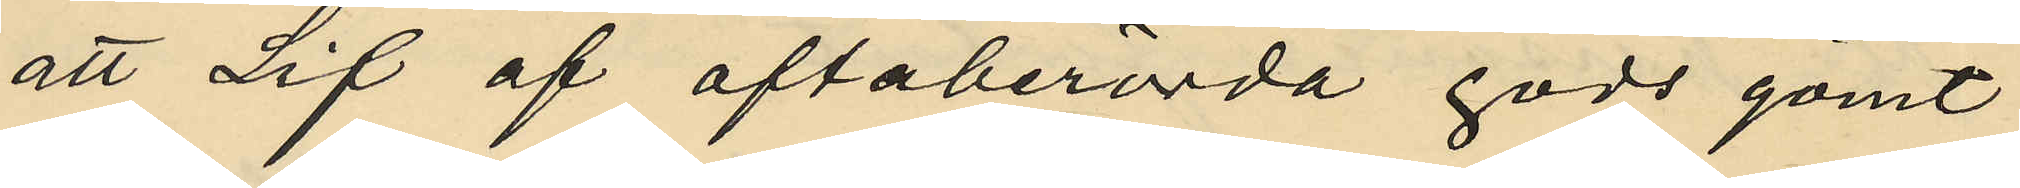att Lif af oftaberörda gods gömt
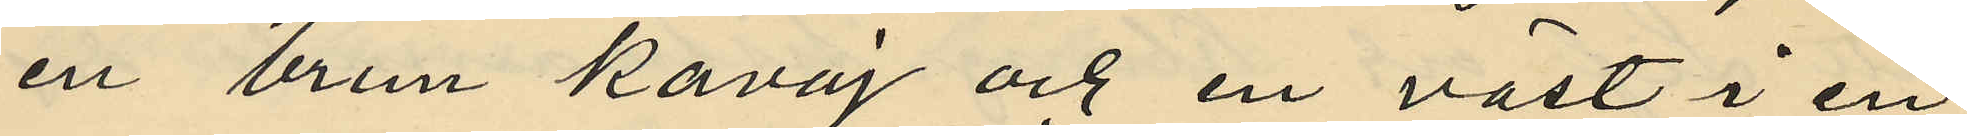en brun kavaj och en väst i en
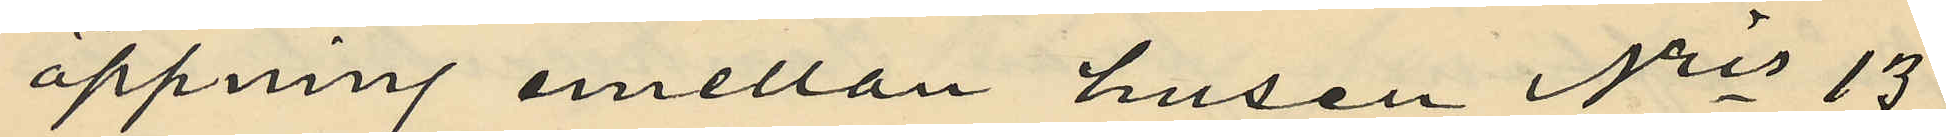öppning emellan husen Nris 13
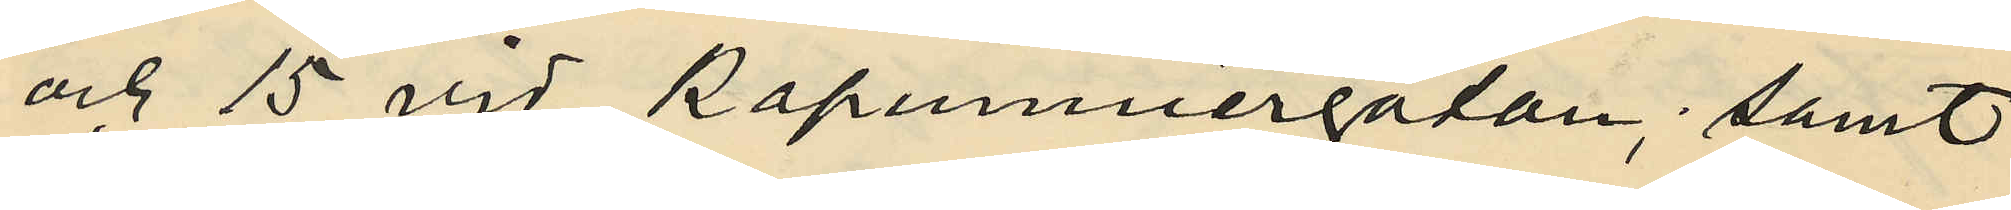och 15 vid Kaponiergatan; samt
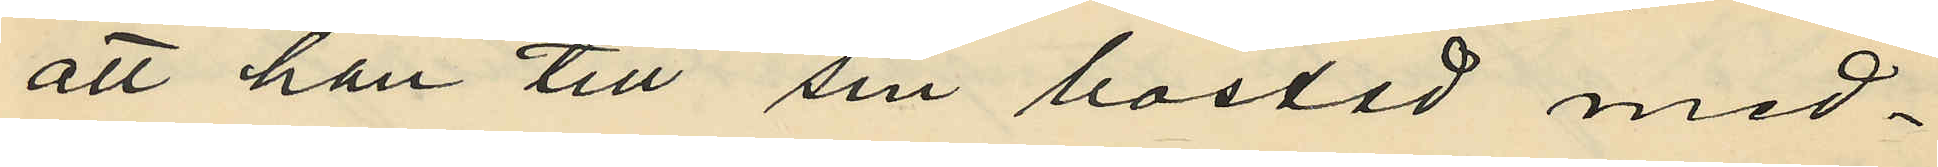att han till sin bostad med¬
